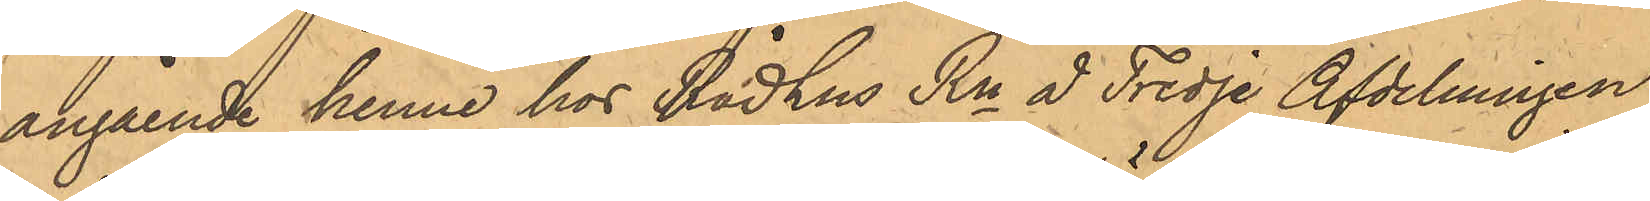angående henne hos Rådhus Rn å Tredje Afdelningen
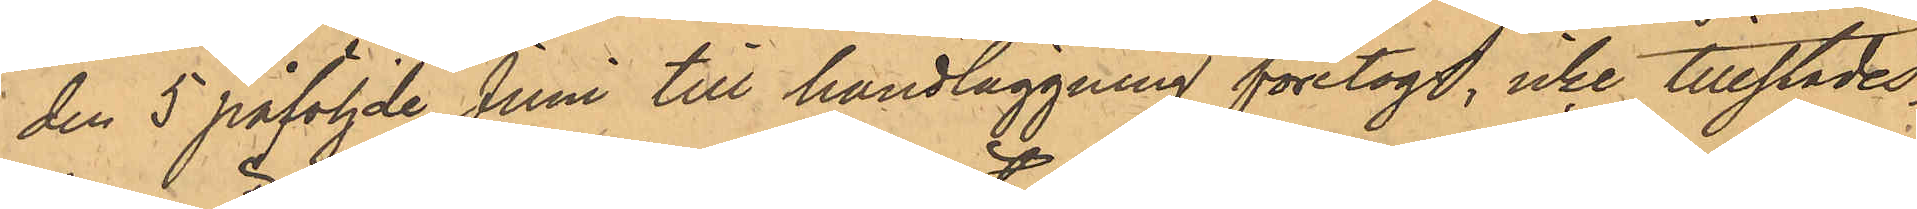den 5 påföljde Juni till handläggning företogs, icke tillstädes¬
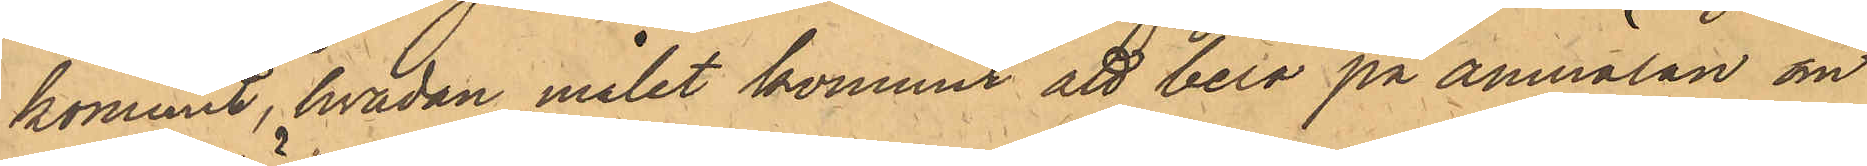kommit, hvadan målet kommit att bero på anmälan om
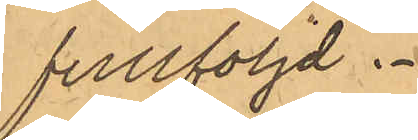fullföljd.
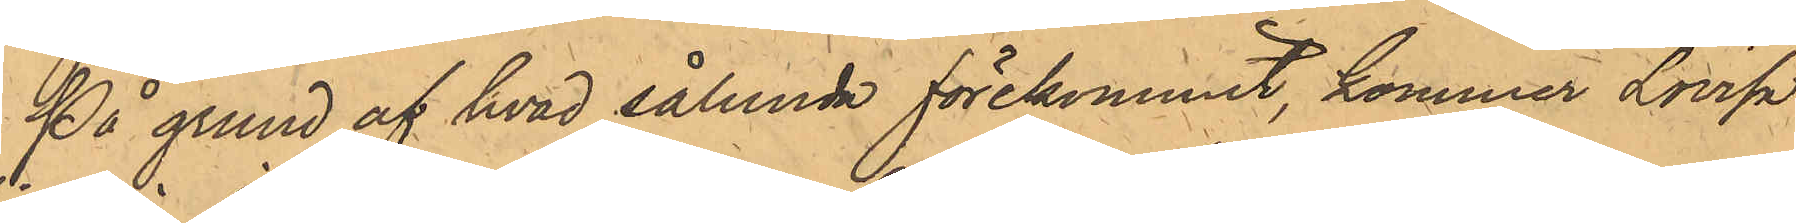På grund af hvad sålunda förekommit, kommer Lovisa
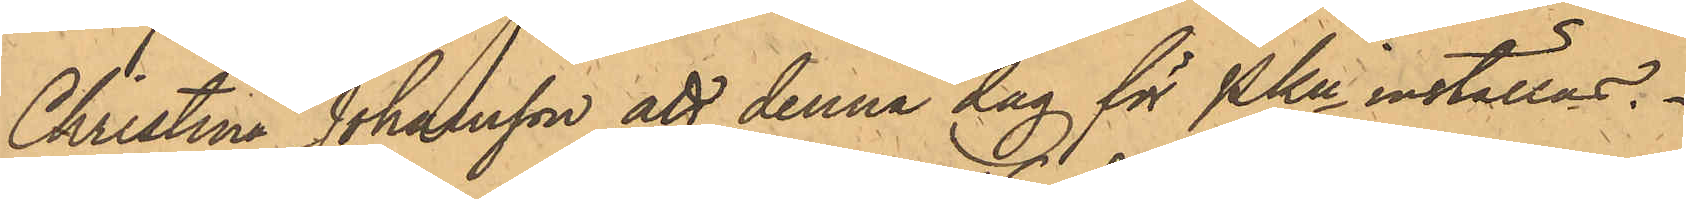Christina Johansson att denna dag för PKn inställas.
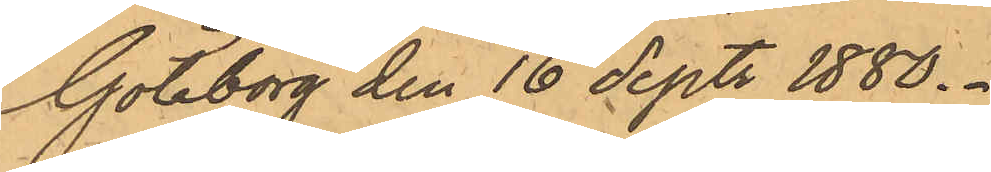Göteborg den 16 Sept. 1880.
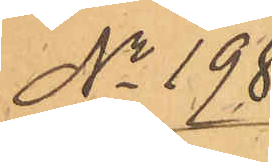No 198.
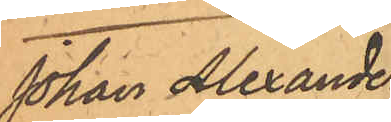Johan Alexander
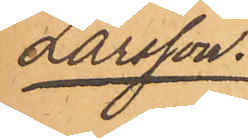Larsson.
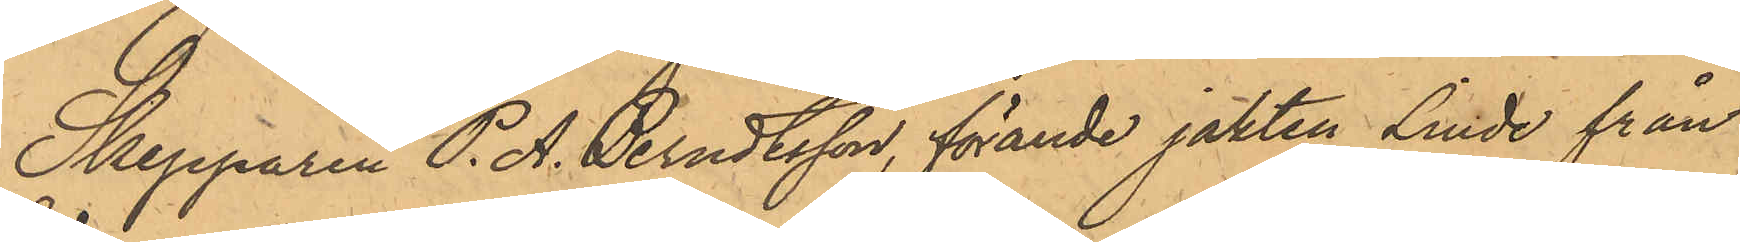Skepparen P. A. Berndtsson, förande jakten Linde från
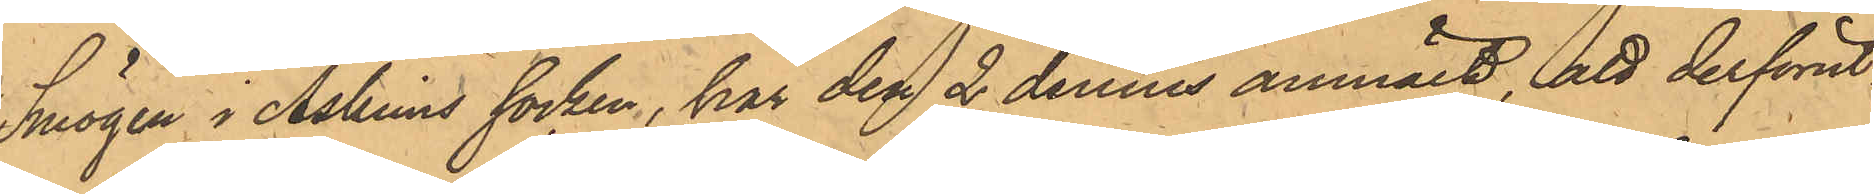Smögen i Askims socken, har den 2 dennes anmält, att derförut¬
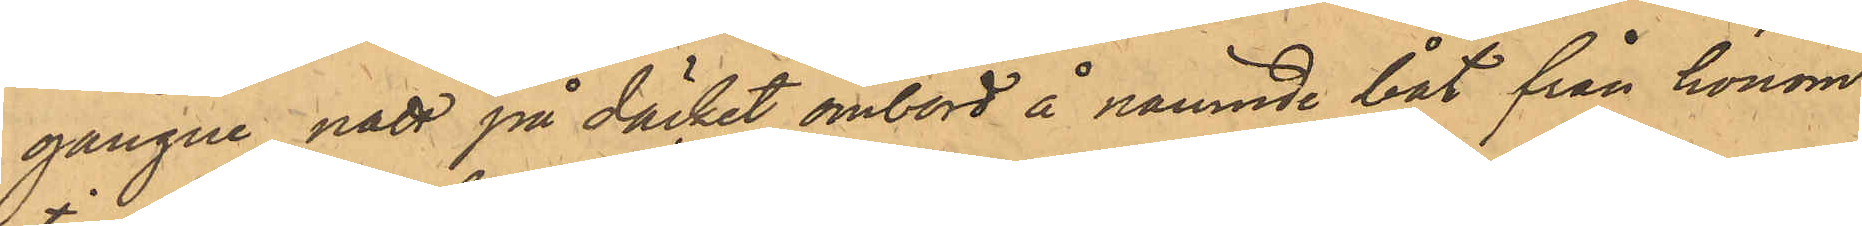gångne natt på däcket ombord å nämnde båt från honom
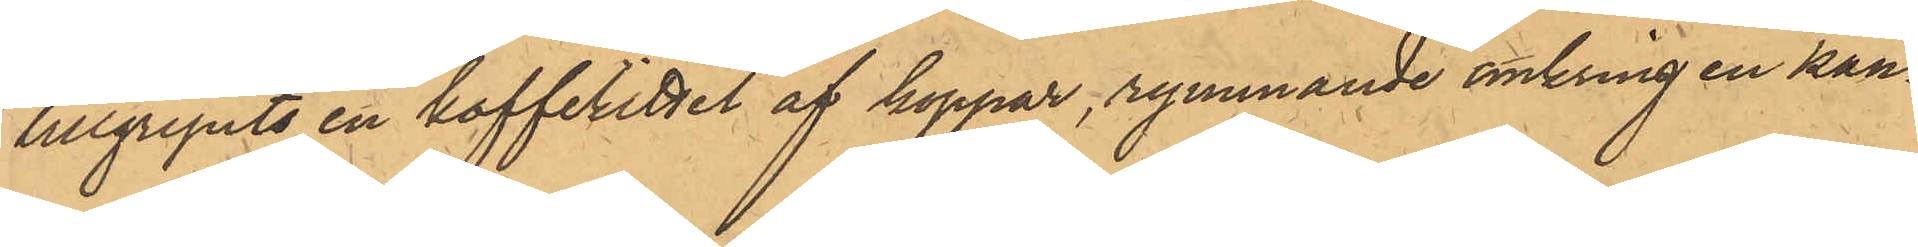tillgripits en kafferittel af koppar, rymande omkring en kan¬
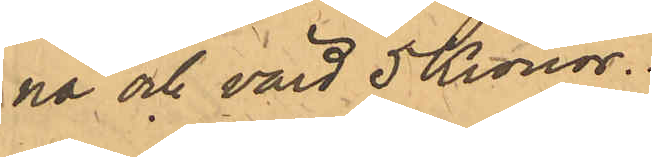na och värd 5 Kronor.
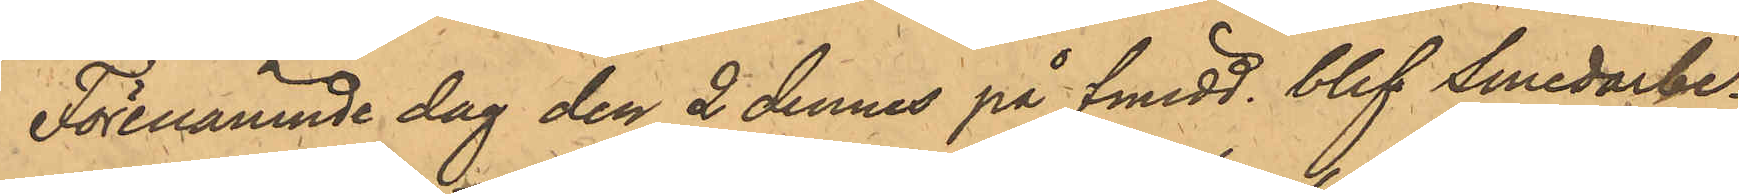Förenämnde dag den 2 dennes på fmidd, blef Smedarbe¬
